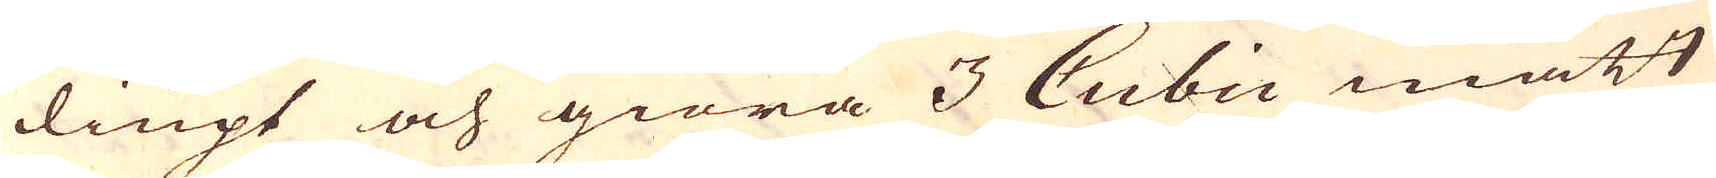diupt och giöra 3 Cubii mått
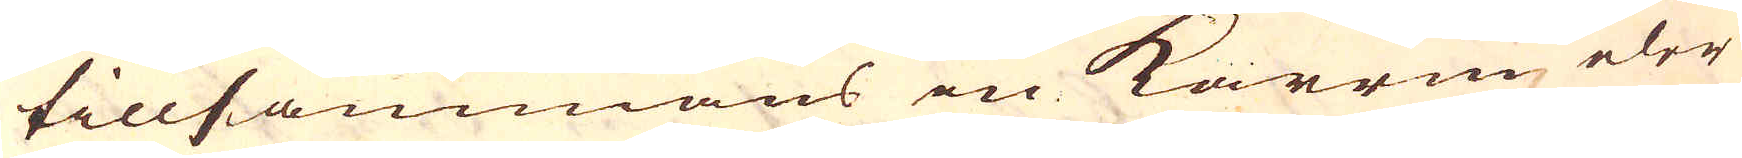tillsammans en karrm eler
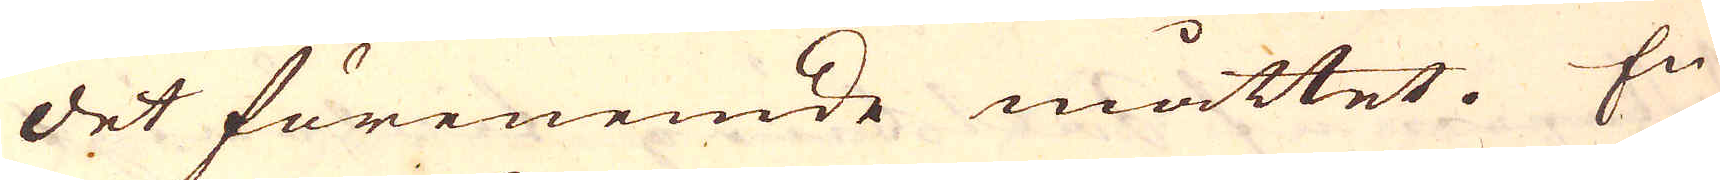det förenemde måttet. En
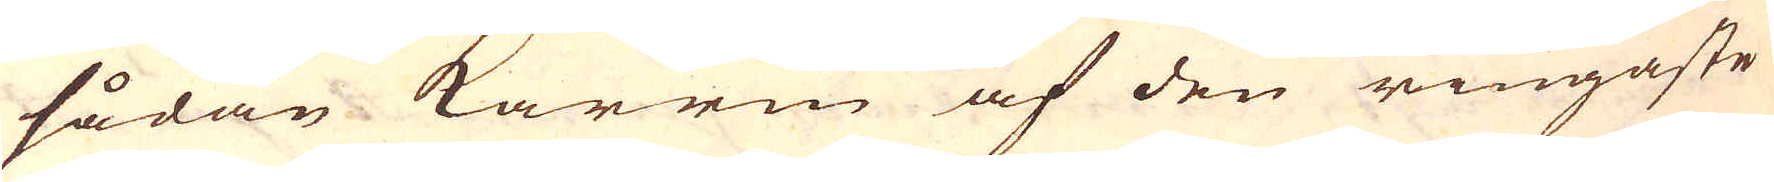sådan karrm af den ringaste
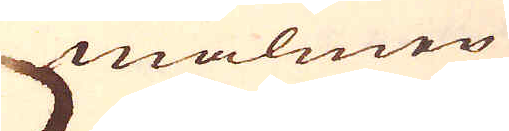malmen
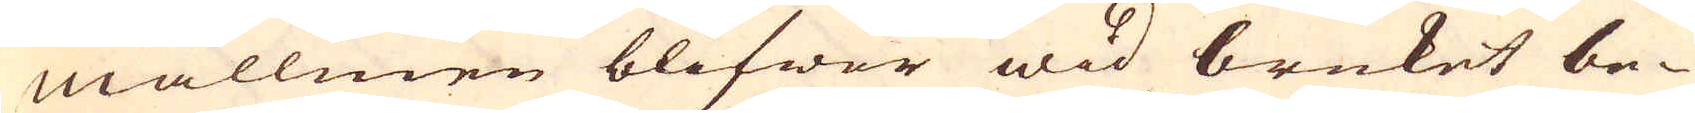mallmen blifwer wid bruket be-
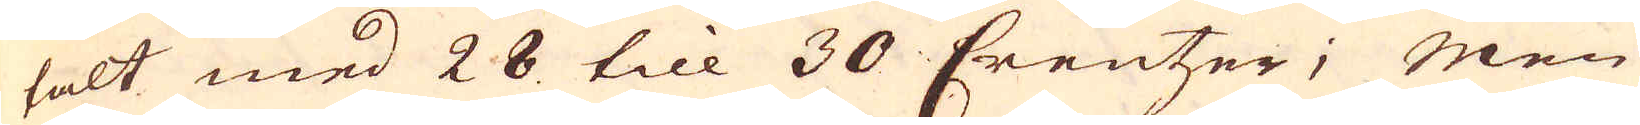talt med 28 till 30 Creutzer; Men
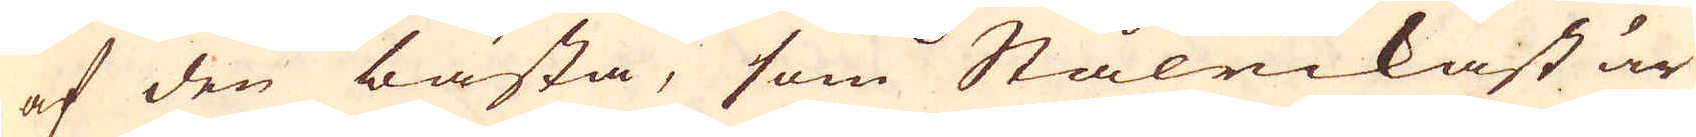af den bästa, som Stålrickast är
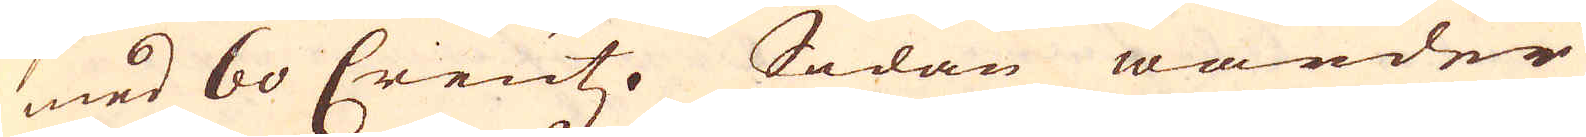med 60 Creutz. Sedan warder
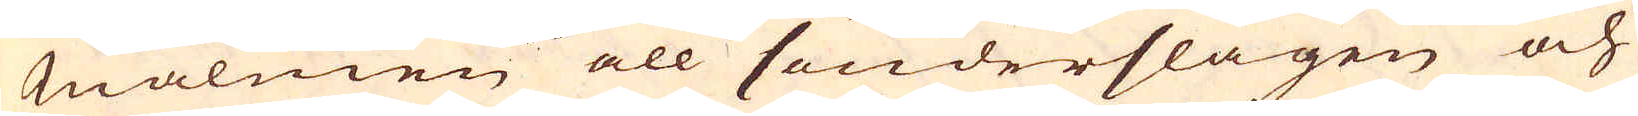Malmen all sönderslagen och
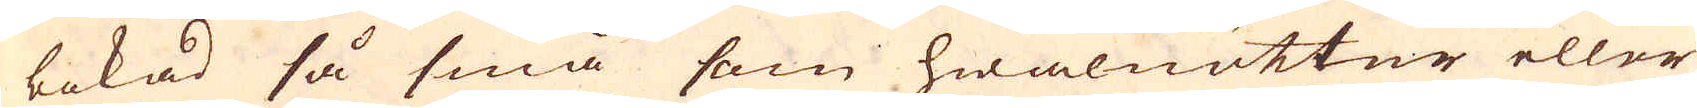bokad så små som hwalnötter eller
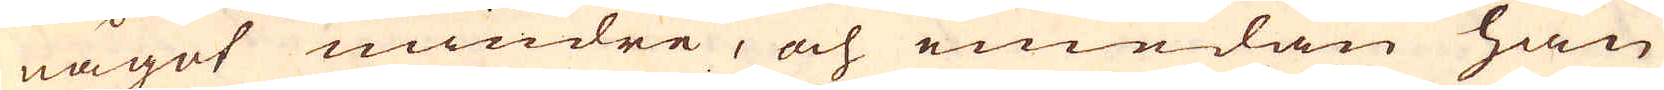något mindre, och emedan han
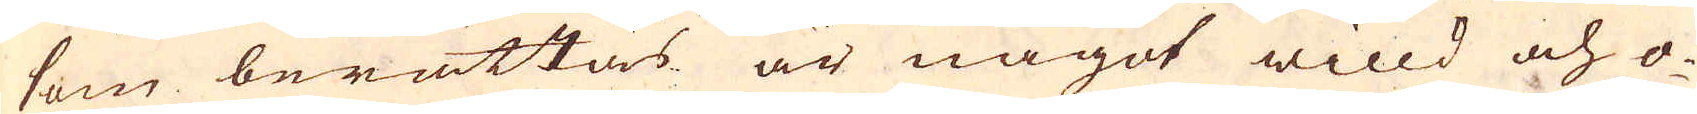som berättas är något willd och o-
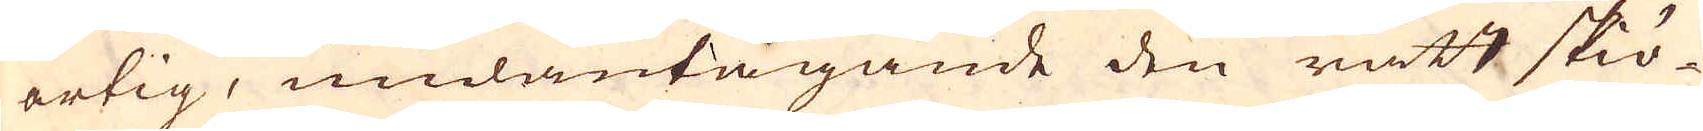artig, undantagande den rätt skiö-
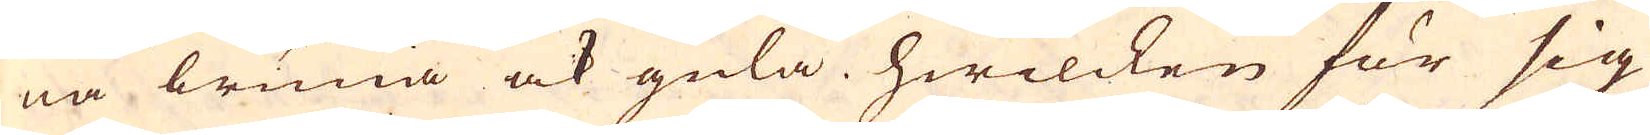na bruna ock gula, hwilcken för sig
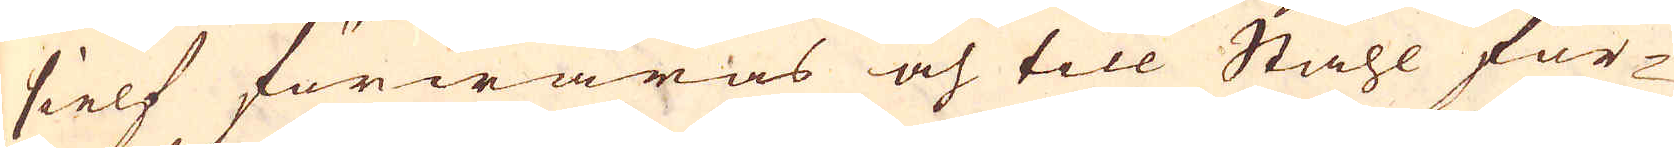sielf förwaras och till Ståhl för-
